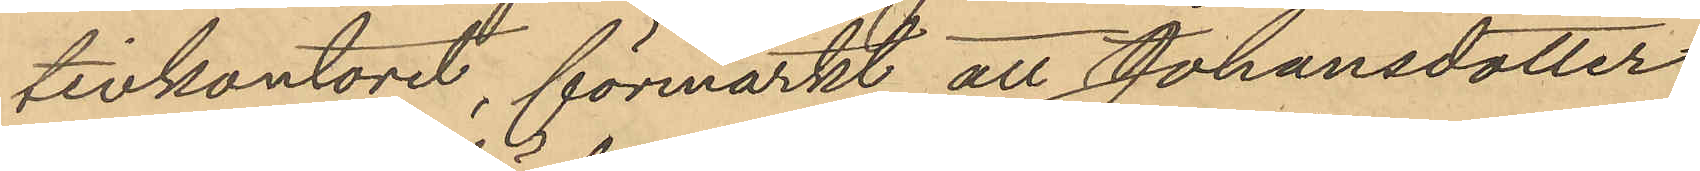tivkontoret, förmärkt att Johansdotter
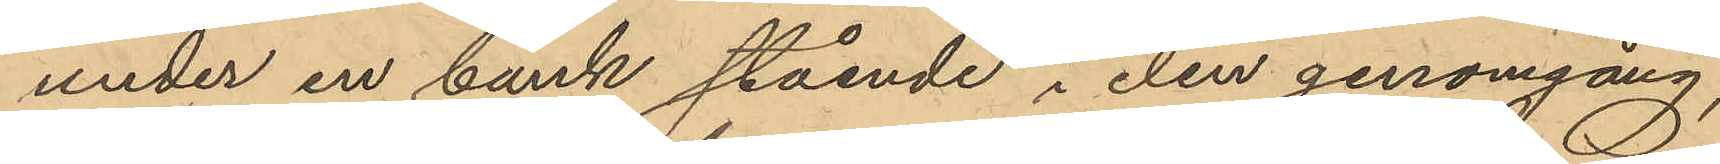under en bänk stående i den genomgång,
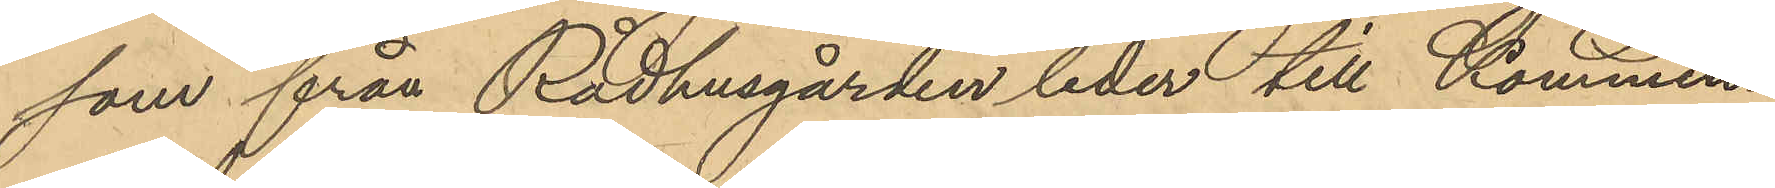som från Rådhusgården leder till Kommen¬
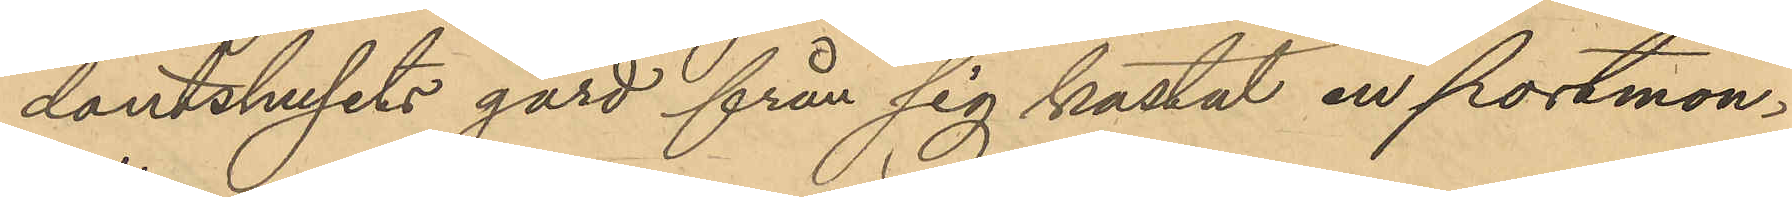dantshusets gård från sig kastat en portmon¬
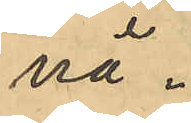nä.
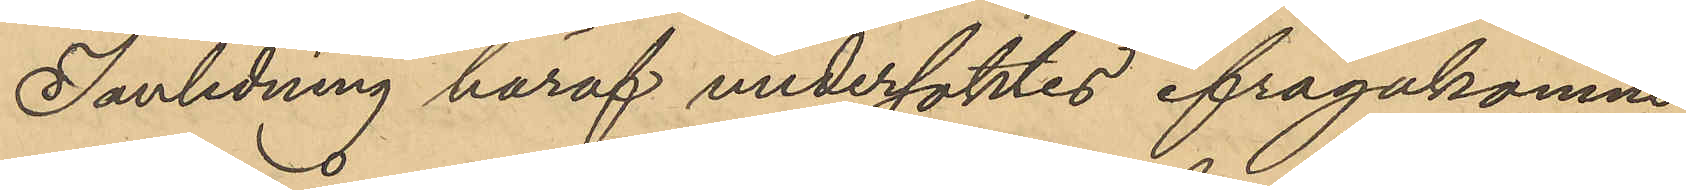I anledning häraf undersöktes ifrågakomne
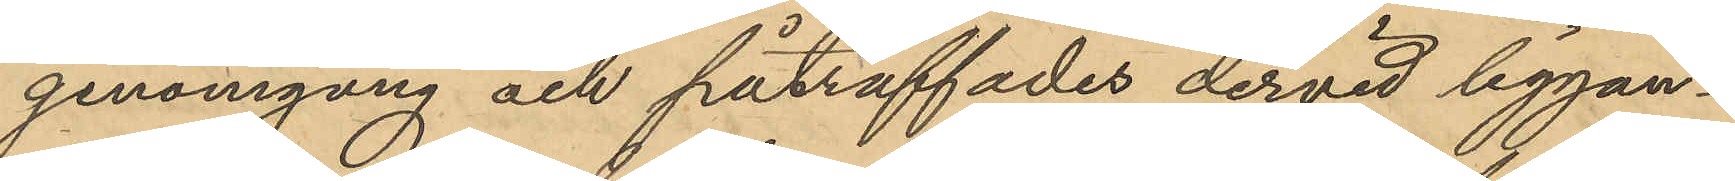genomgång och påträffades dervid liggan¬
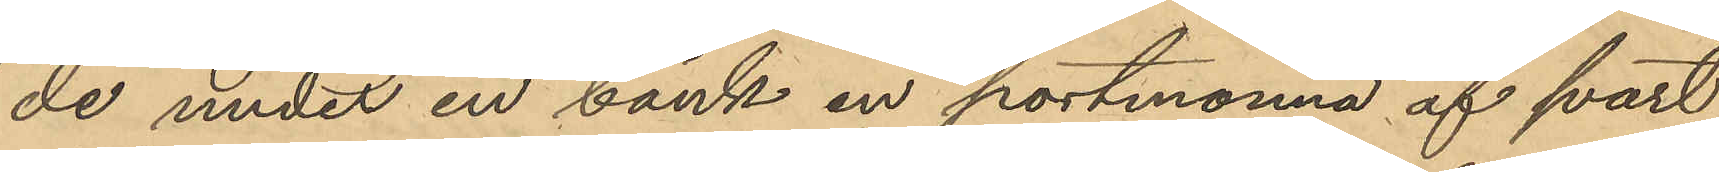de under en bänk en portmonnä af svart
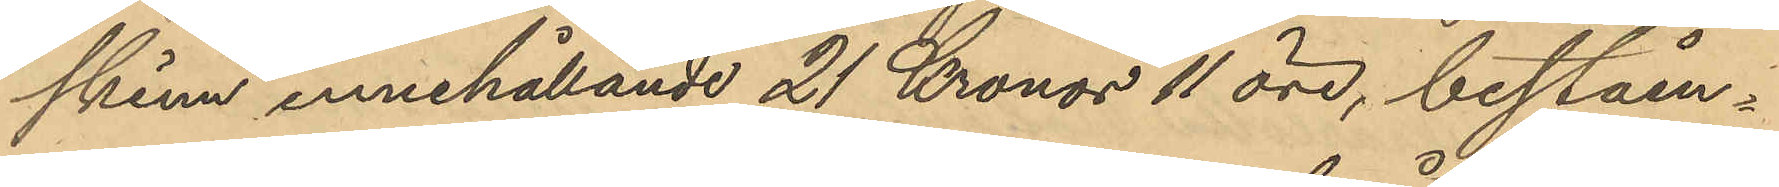skinn innehållande 21 Kronor 11 öre, beståen¬
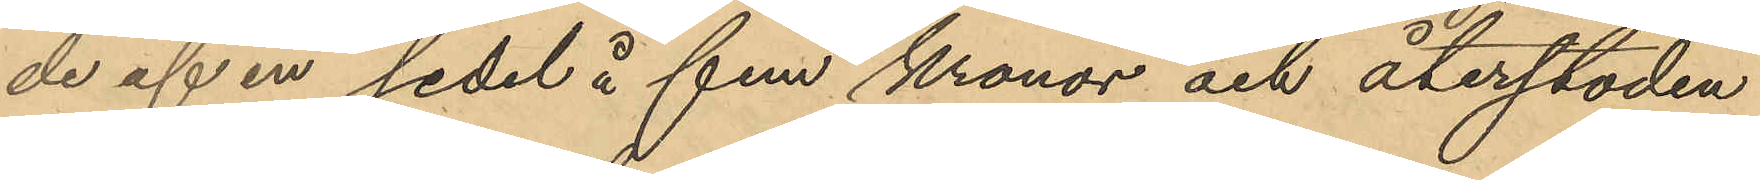de af en sedel å fem kronor och återstoden
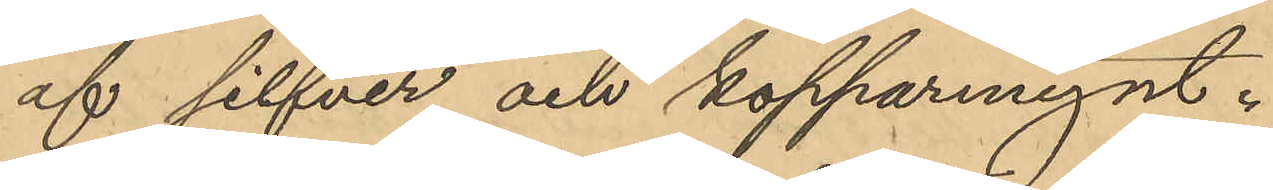af silfver och kopparmynt.
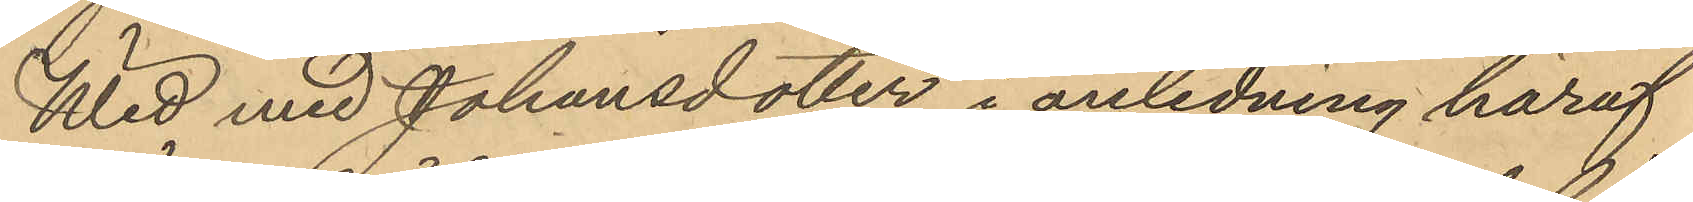Wid med Johansdotter i anledning häraf
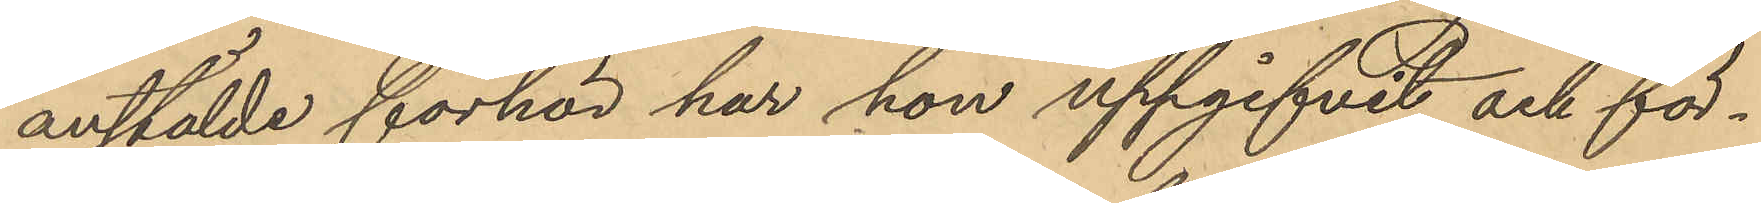anstälde förhör har hon uppgifvit och för¬
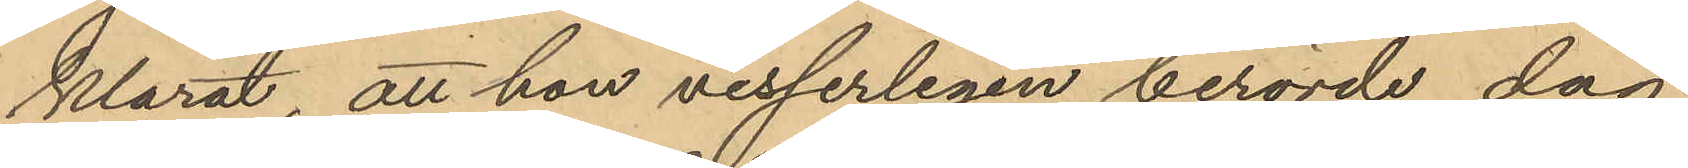klarat att hon visserligen berörde dag
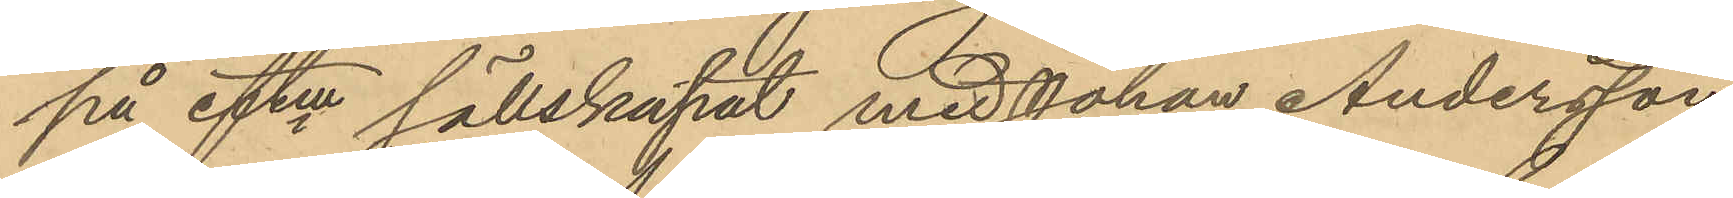på eftm sällskapat med Johan Andersson
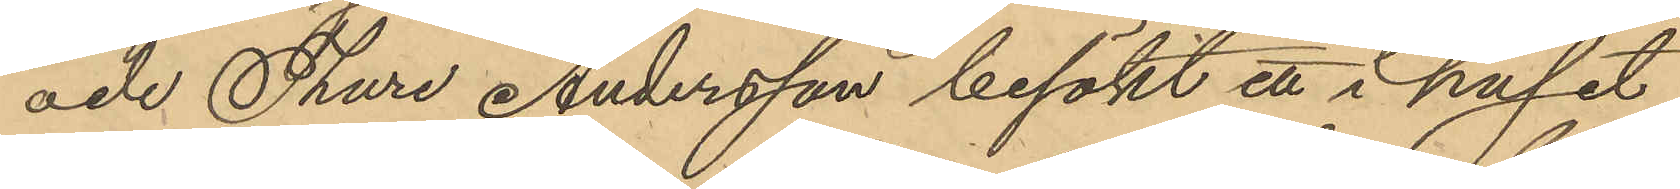och Thure Andersson besökt ett i huset
